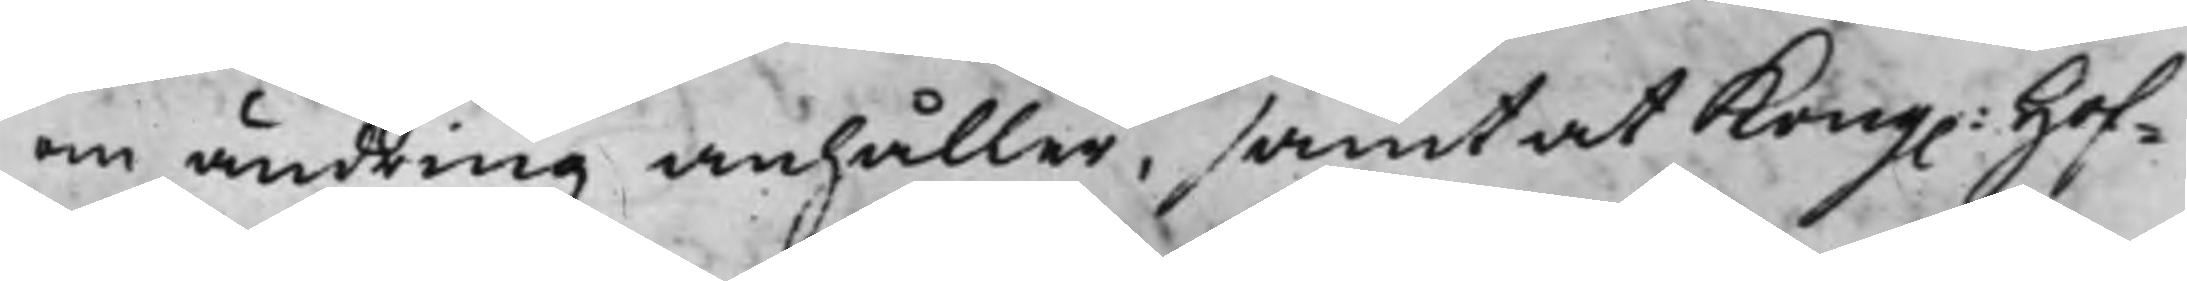om ändring anhåller, samt at Kong. Hof¬
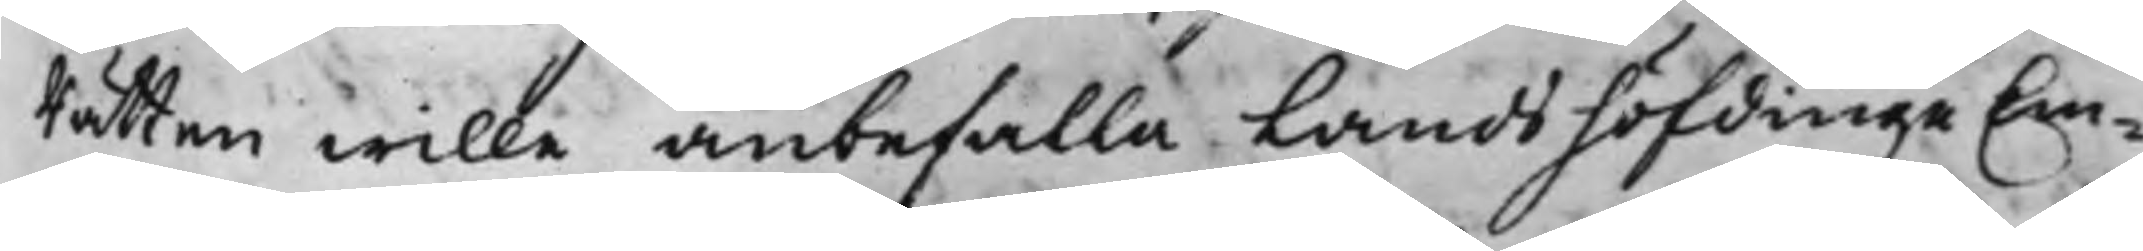Rätten wille anbefalla Landshöfdinge Em¬
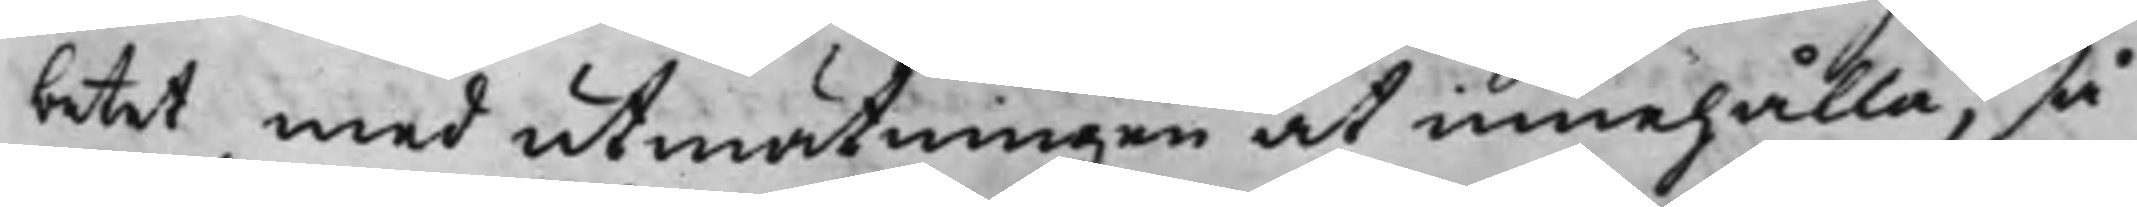betet med utmättningen at innehålla, så
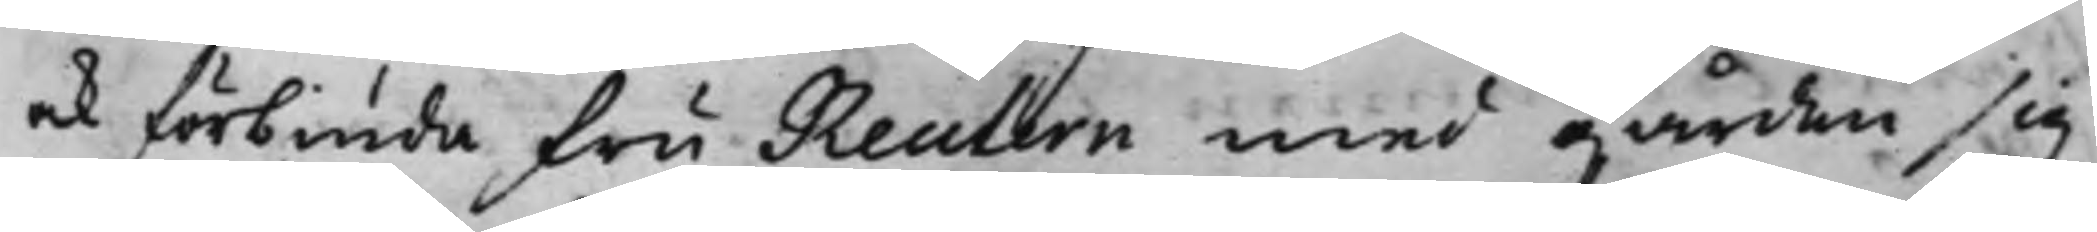och förbiuda fru Reutern med gården sig
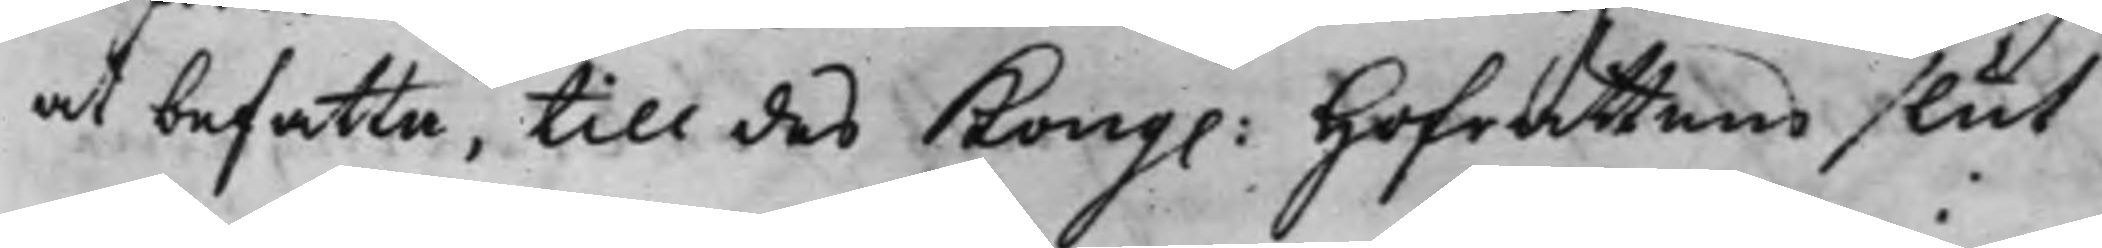at befatta, till des Kong. Hofrätten slut
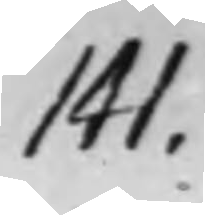141.
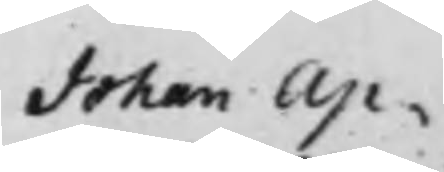Johan Ap¬
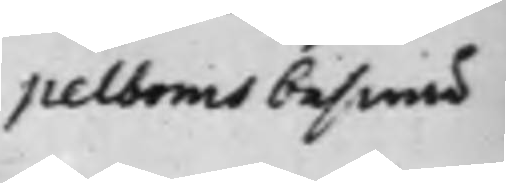pelboms beswär
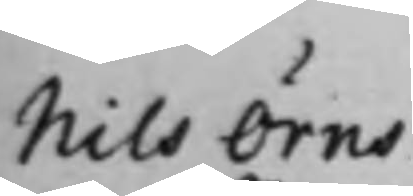Nils Örns
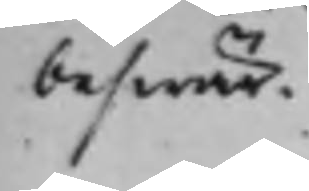beswär,
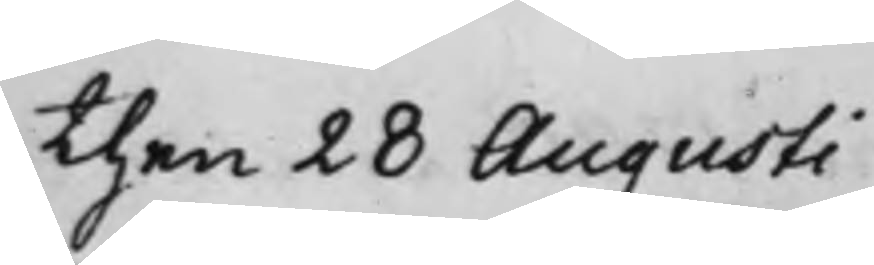then 28 Augusti
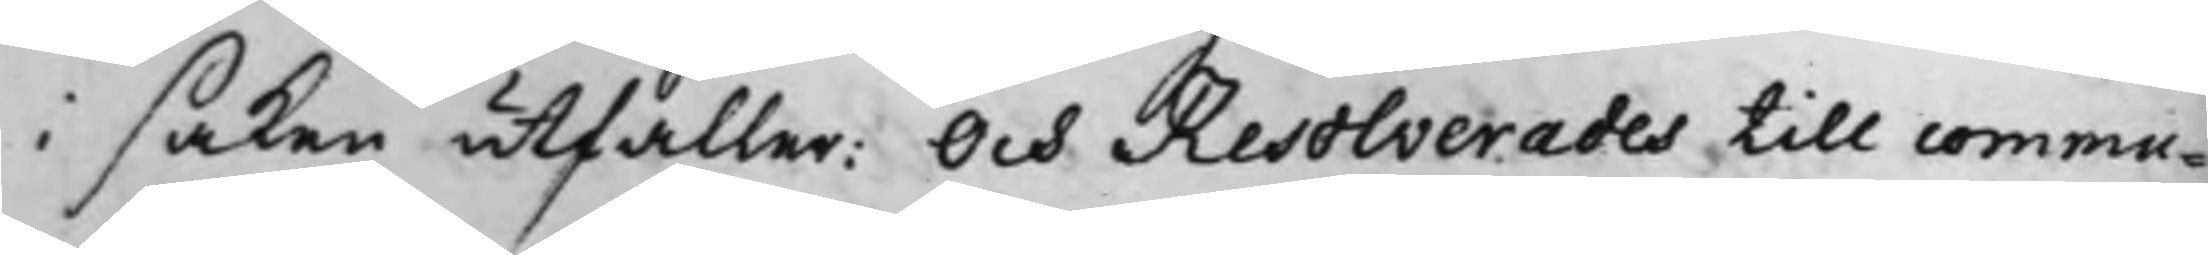i saken utfaller: Och Resolverades till commu¬
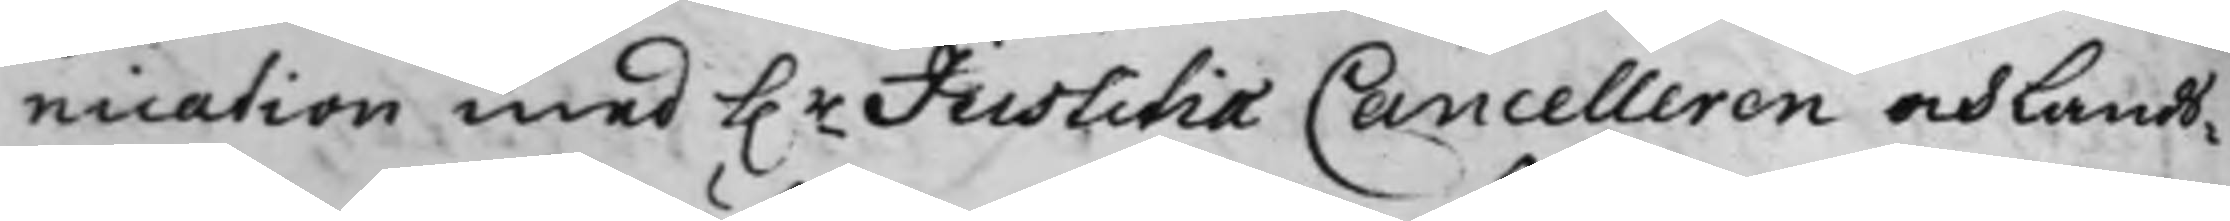nication med h.r Justitiæ Cancelleren och Lands¬
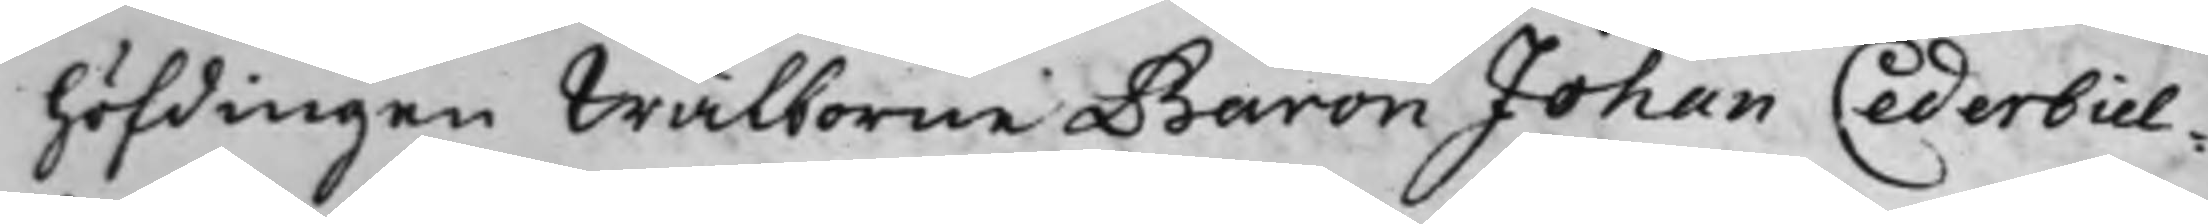höfdingen Wälborne Baron Johan Cederbiel¬
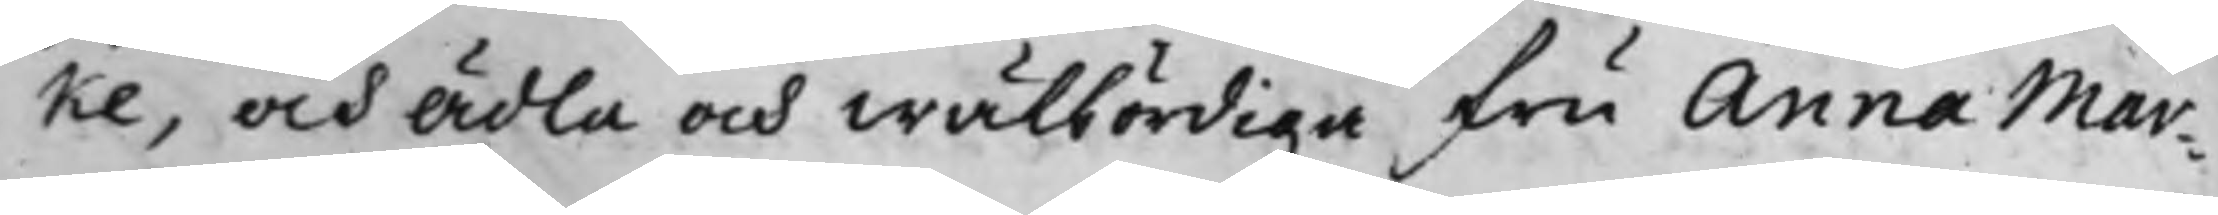ke, och Ädla och wälbördiga Fru Anna Mar¬
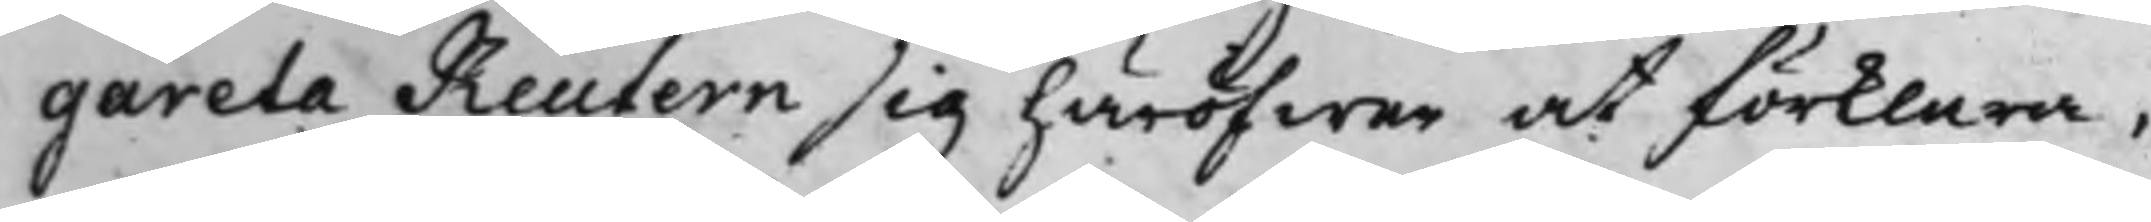gareta Reutern sig häröfwer at förklara,
